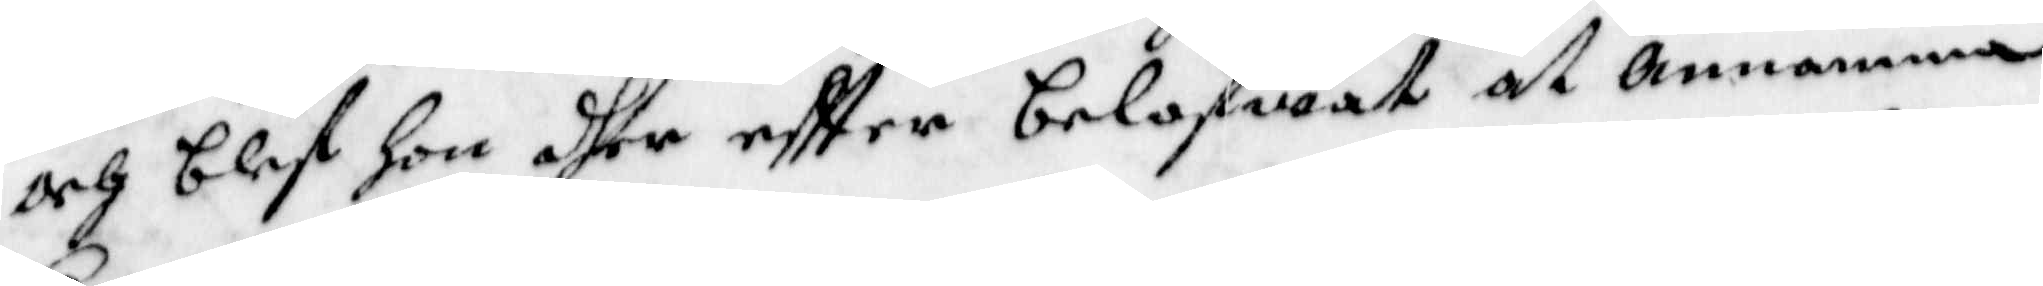och blef Hon dher eftter belofwat at annamma
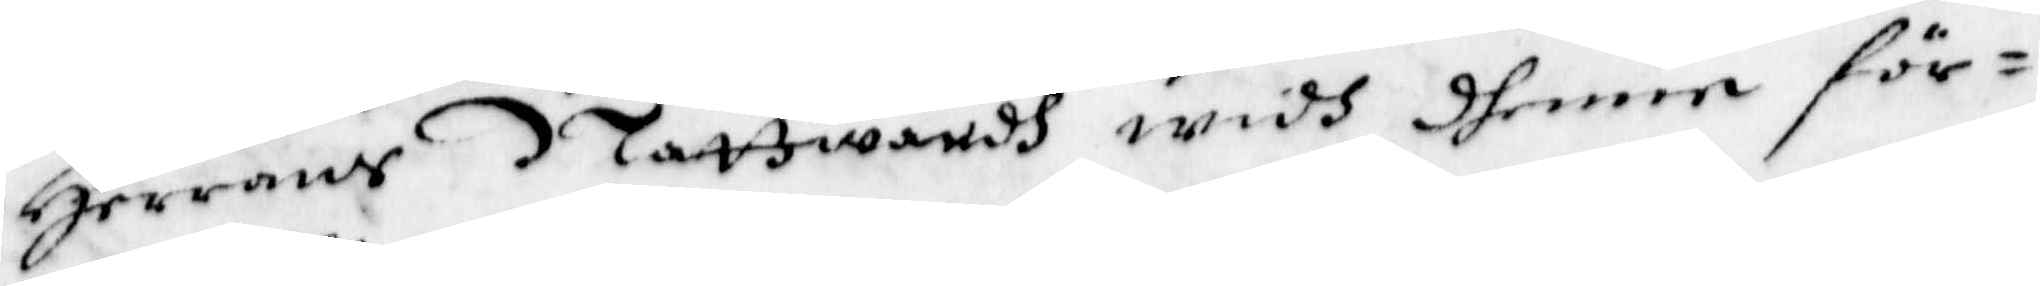Herrans Nattwardh widh dhenne för¬
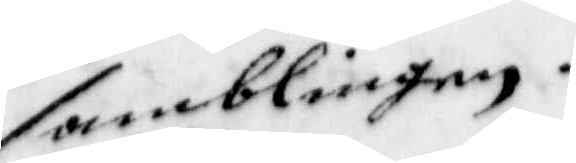samblingen.
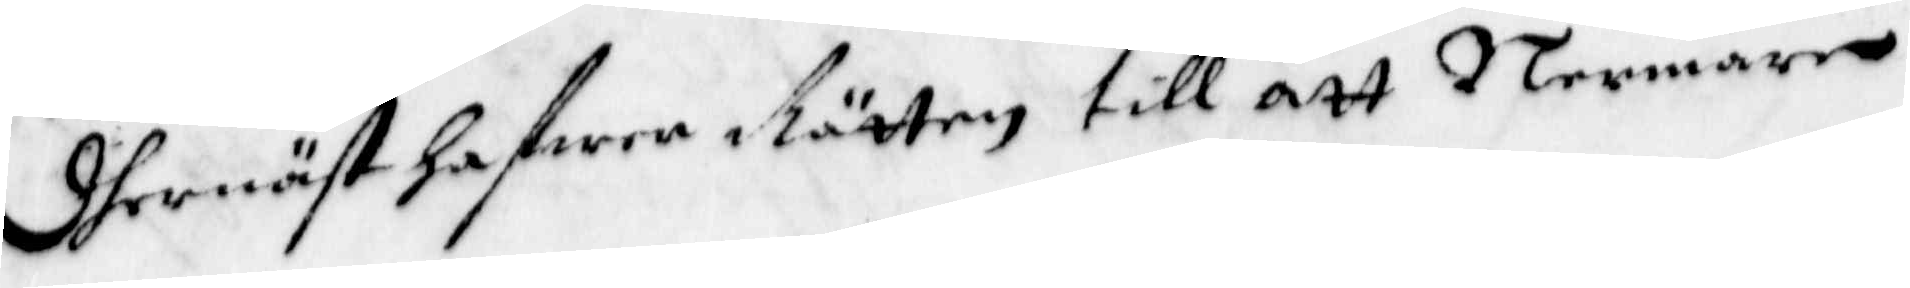Dhernäst hafwer Rätten till att Nermare
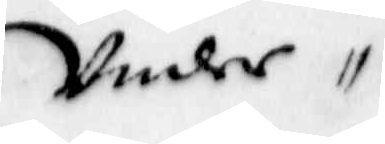Under
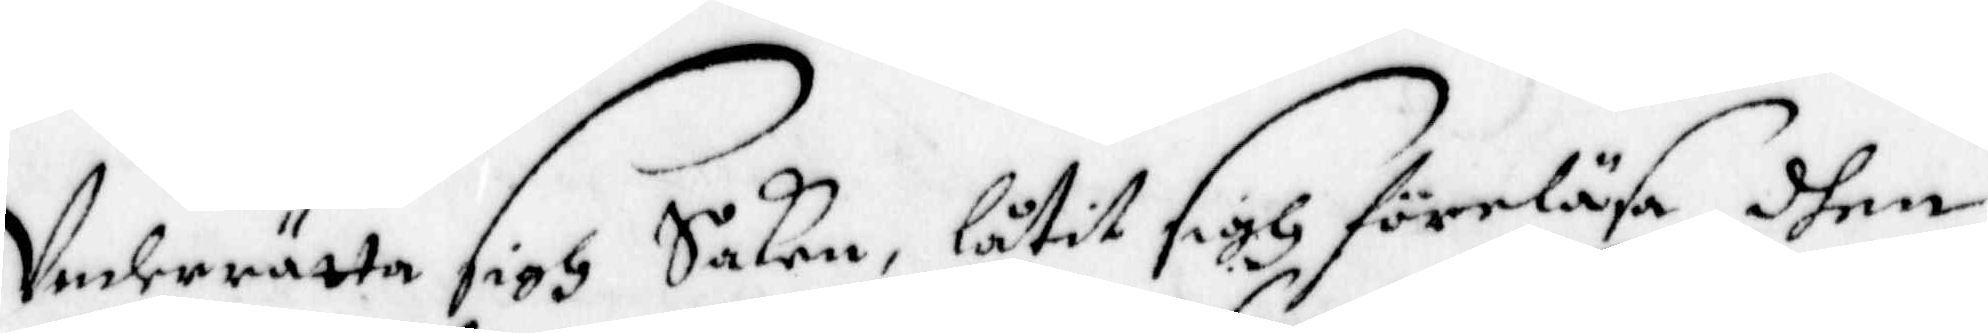Underrätta sigh Saken, låtit sigh föreläsa dhen
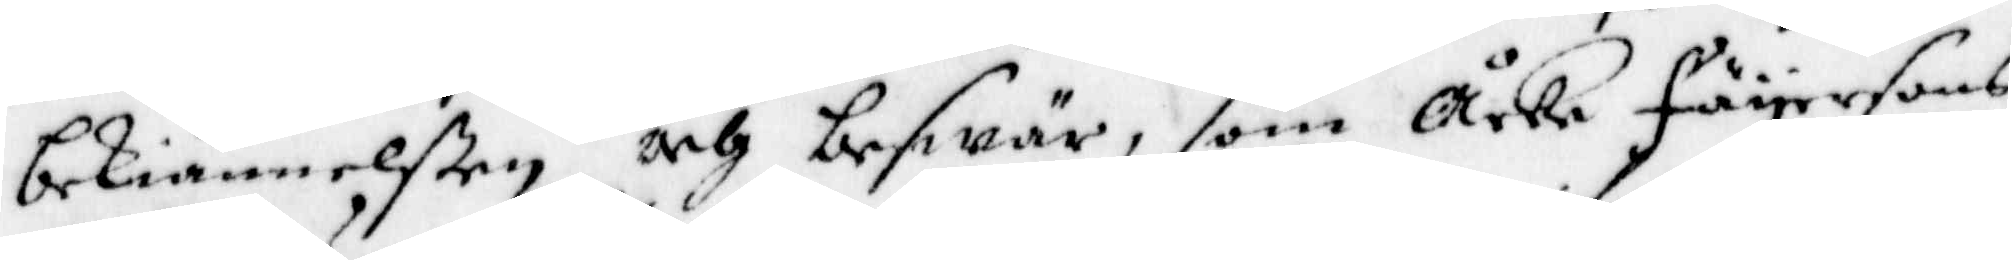bekiännelßen och beswär, som Åcke Fäyersons
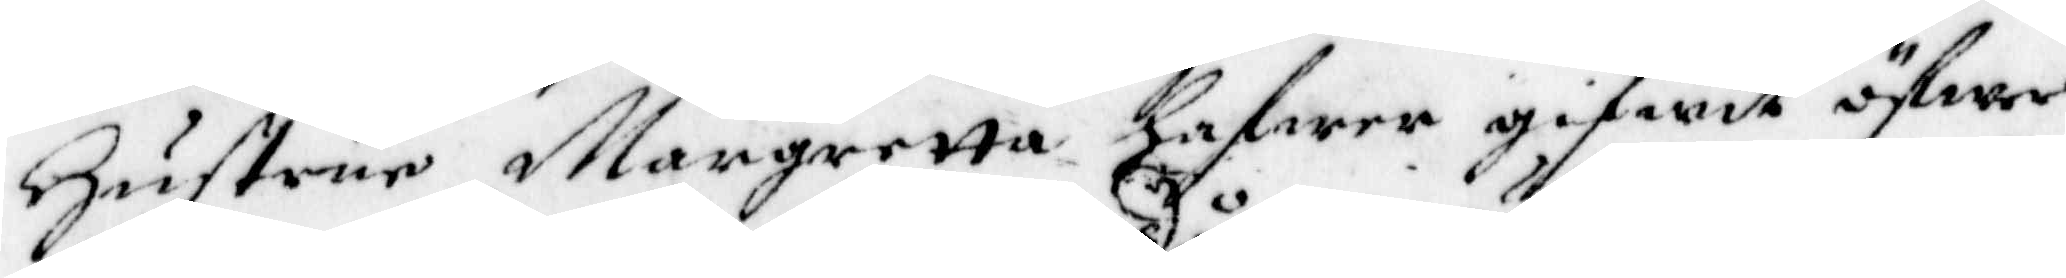Hustru Margretta hafwer gifwit öfwer
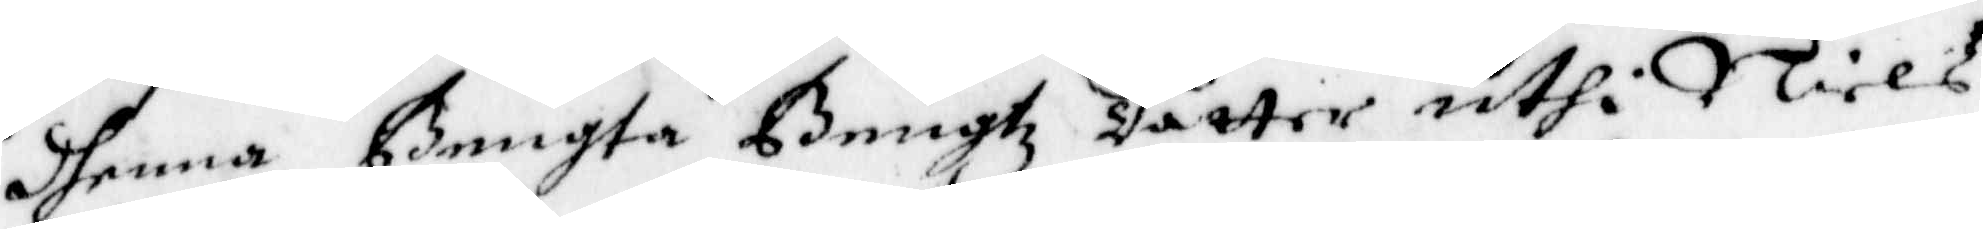dhenna Bengta Bengtz dotter uthi Niels
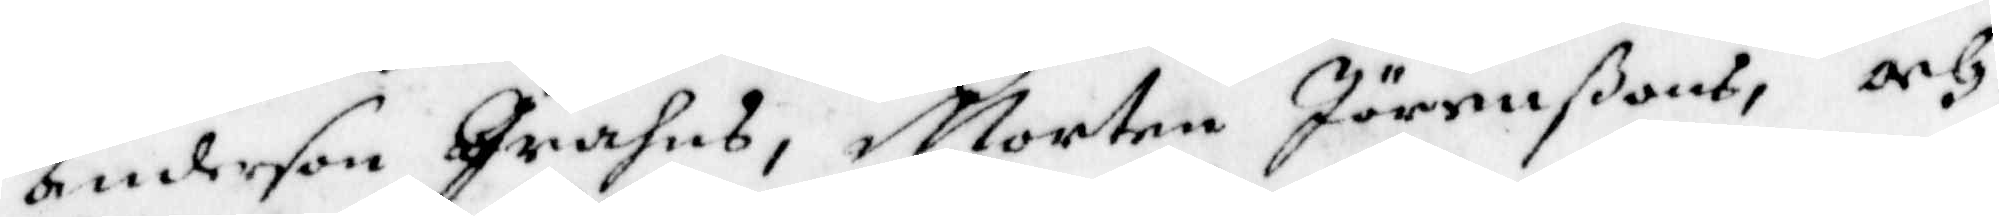Anderson Grahns, Morten Jöranßons, och
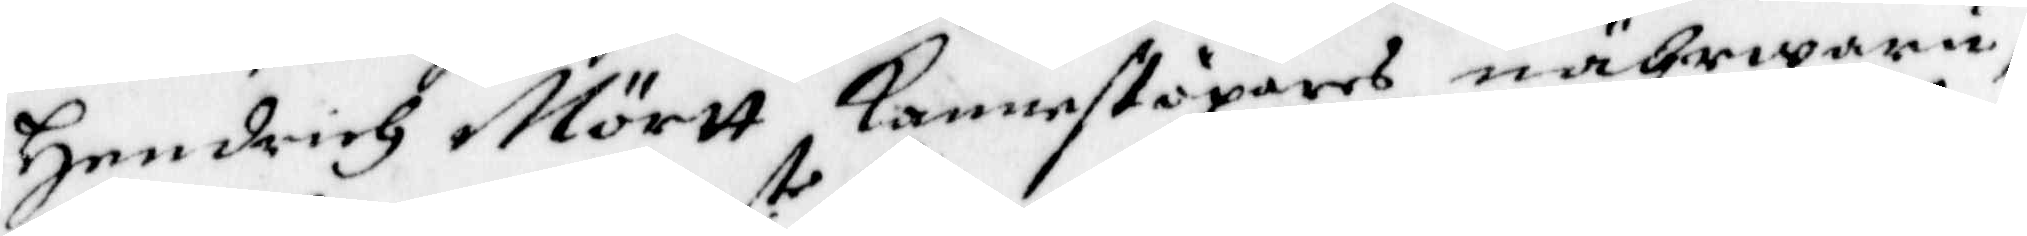Hendrich Mörtt kannestöpares nährwaru;
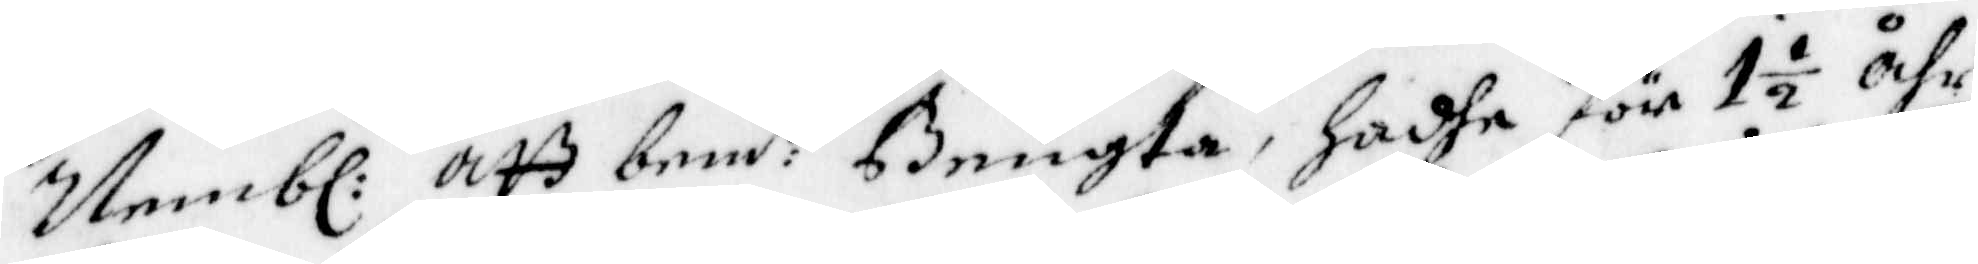Nembl: att bem:te Bengta, hadhe för 1½ åhr
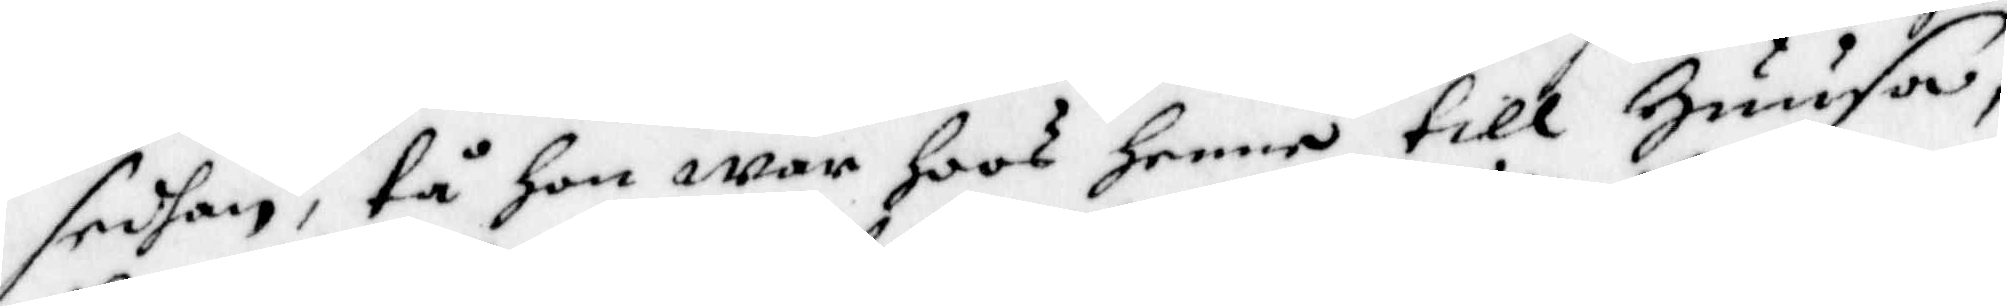sedhan, tå hon war hoos henne till Huusa,
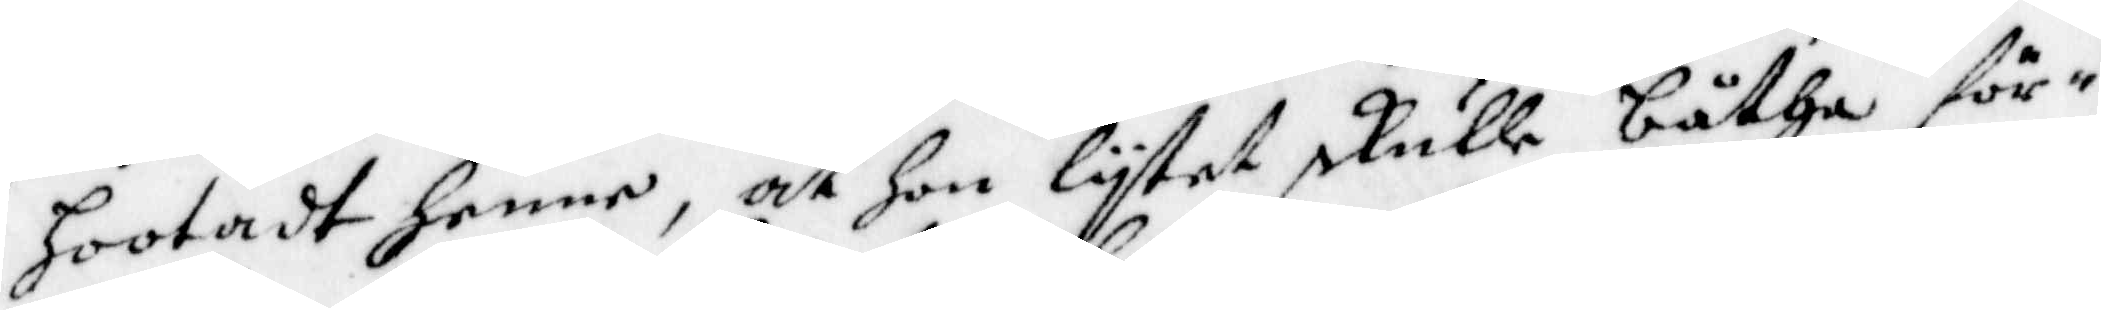hootadt henne, at hon lytet skulle båtha för 
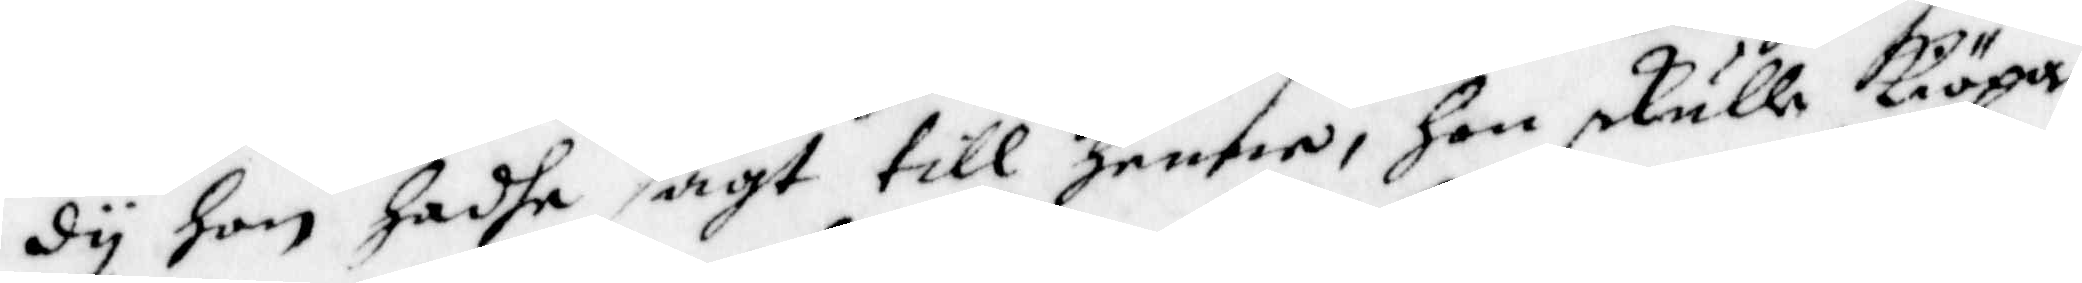dy hon hadhe sagt till Henne, Hon skulle kiöpa
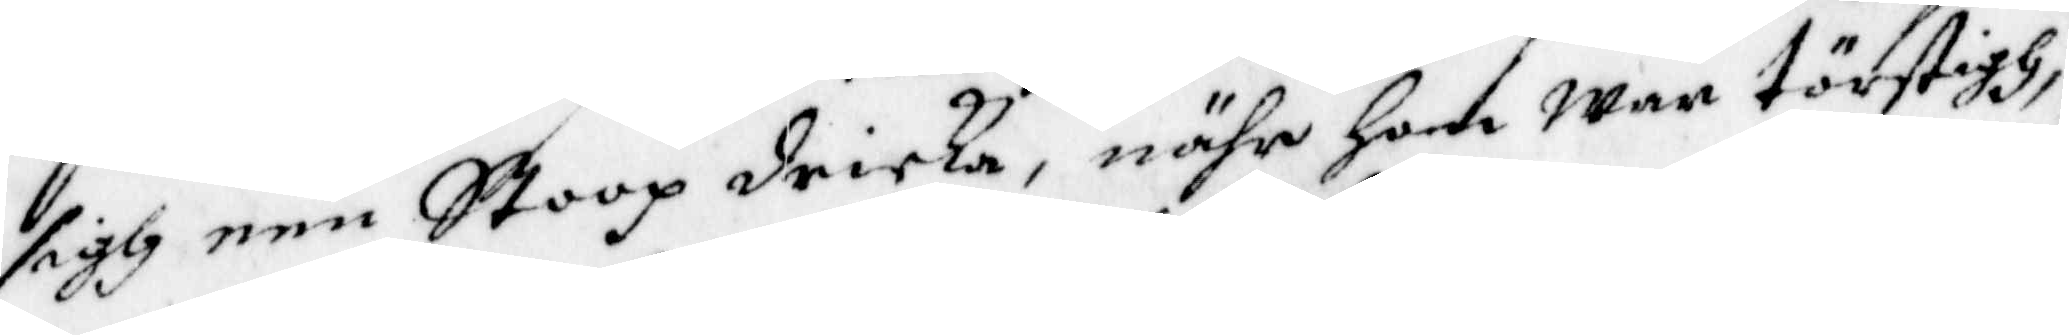sigh een Stoop dricka, nähr hon war törstigh,
